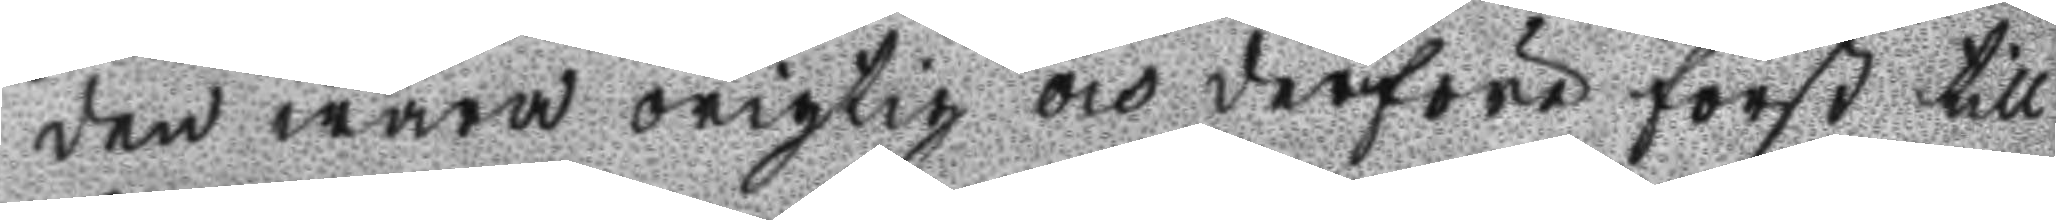den wara origtig och derföre först till
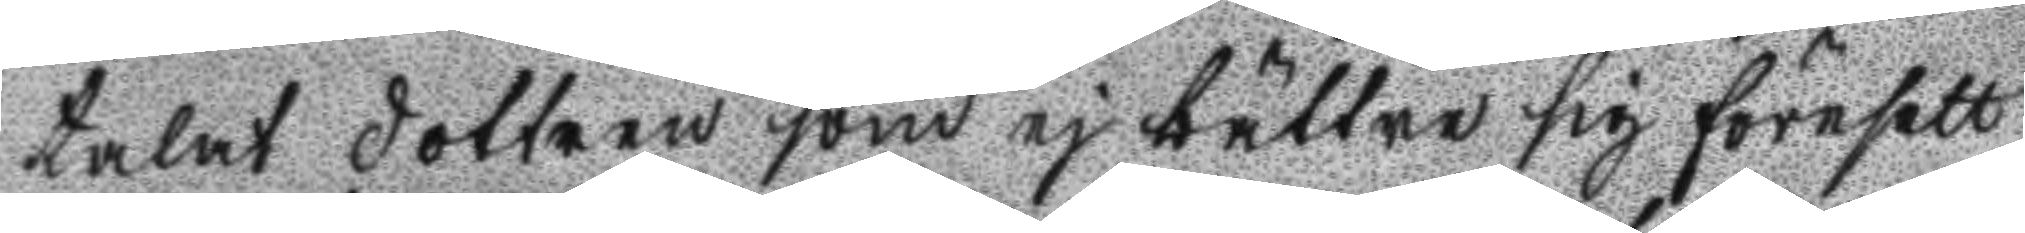talat dottren som ej bättre sig föresett
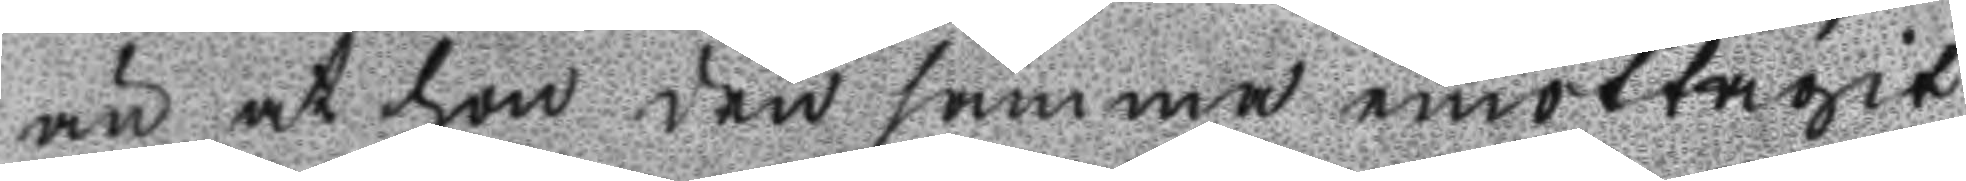än at hon den samma emottagit,
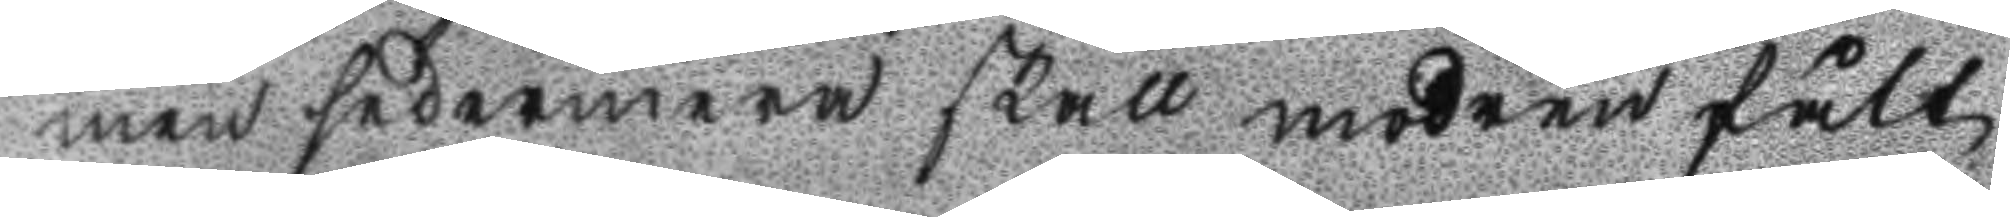men sedermera skall modren fått
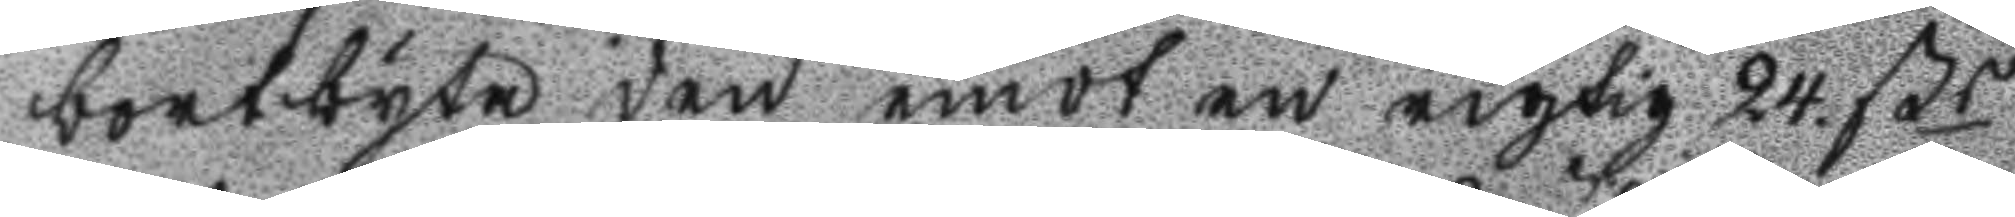bortbyta den emot en rigtig 24. ßr
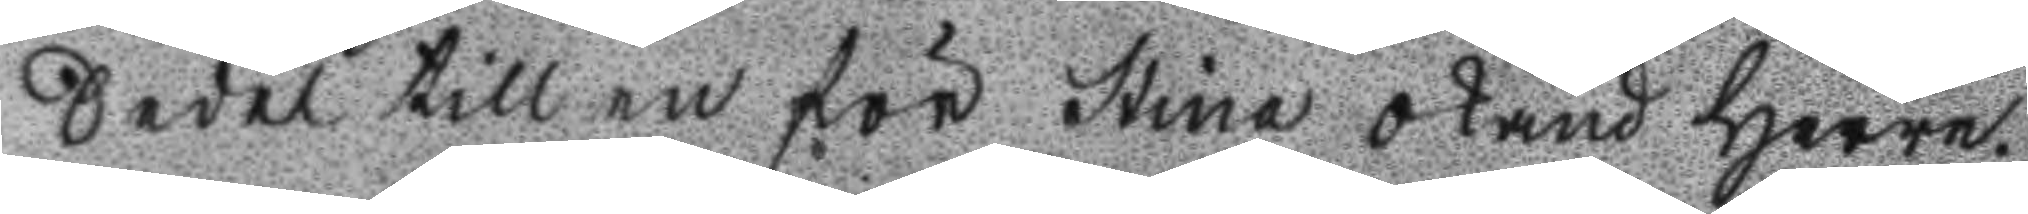Sedel till en för Stina okänd Herre.
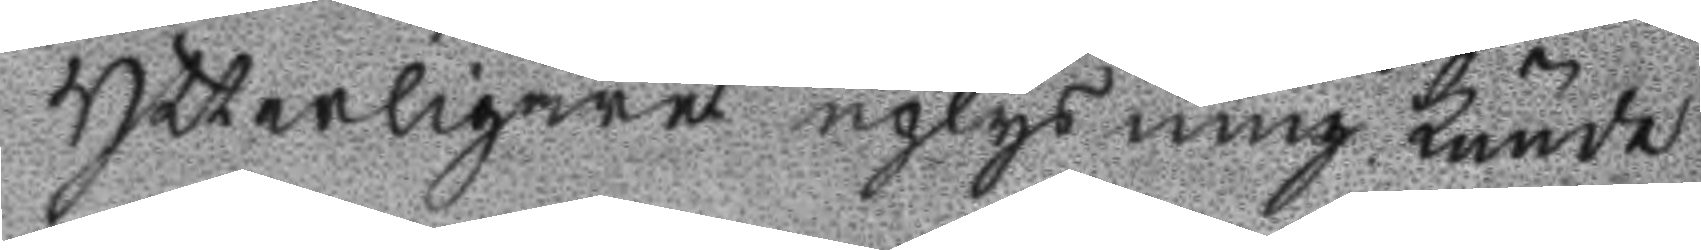Ytterligare uplysning kunde
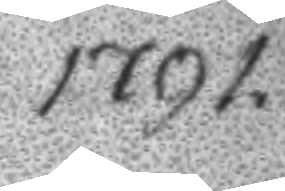1791.
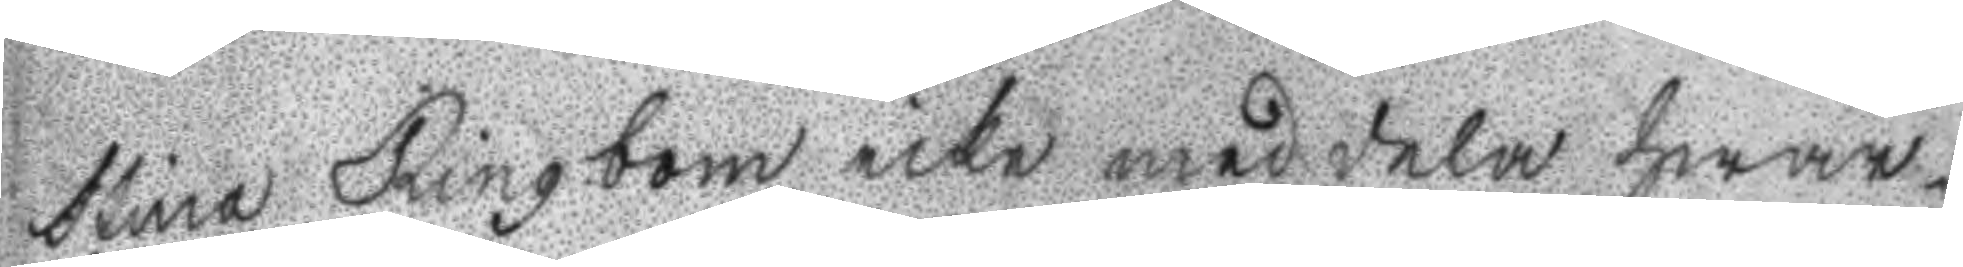Stina Ringbom icke meddela hwar¬
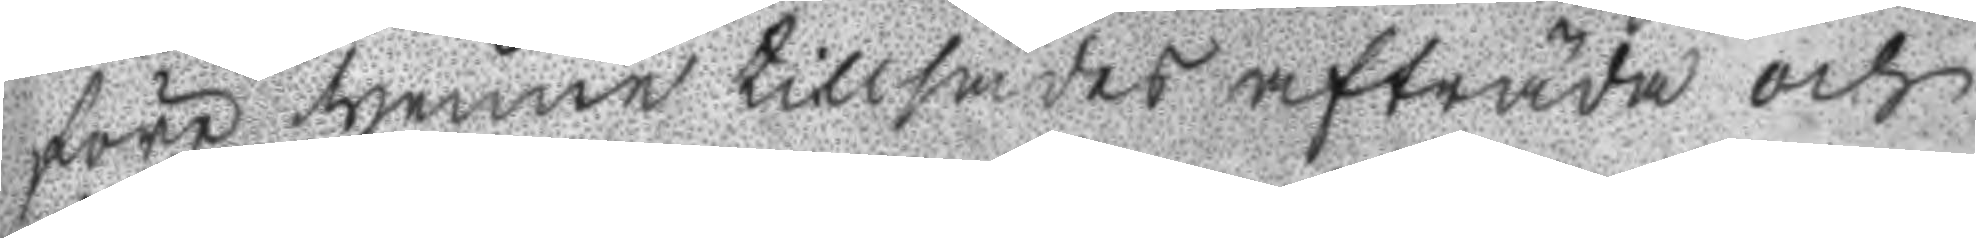före thenne tillsades afträda och
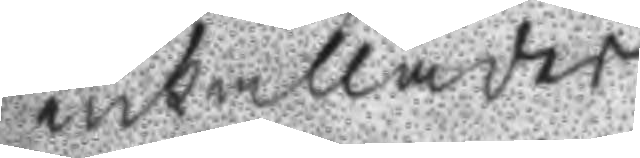inkallades
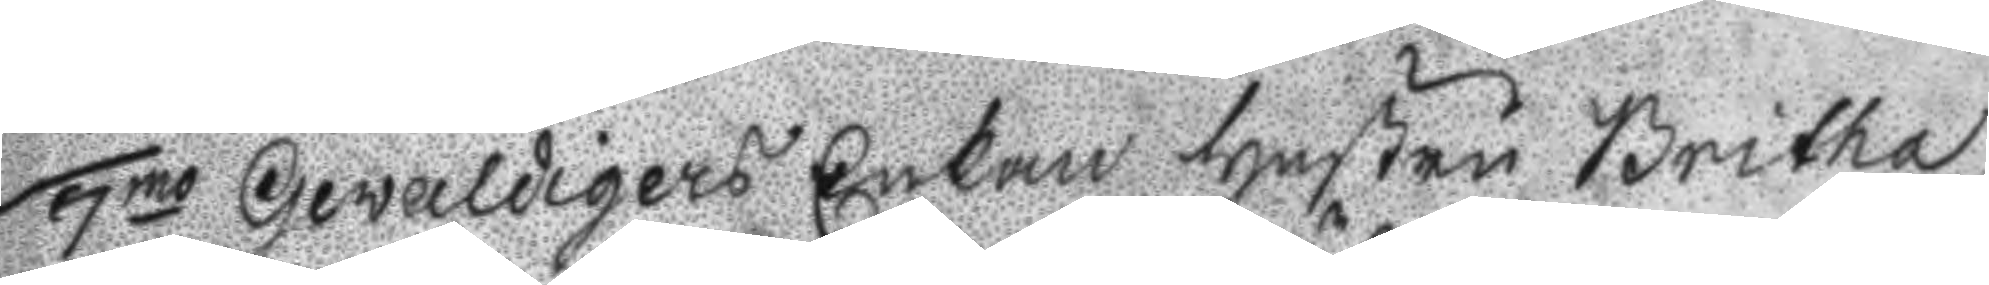7mo Gewaldigers Enkan Hustru Britha
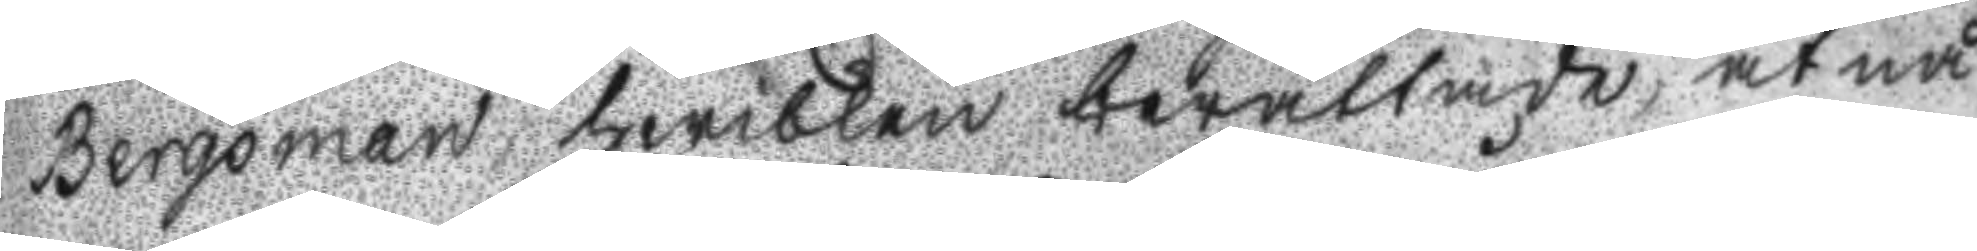Bergman hwilken berättade, at nå
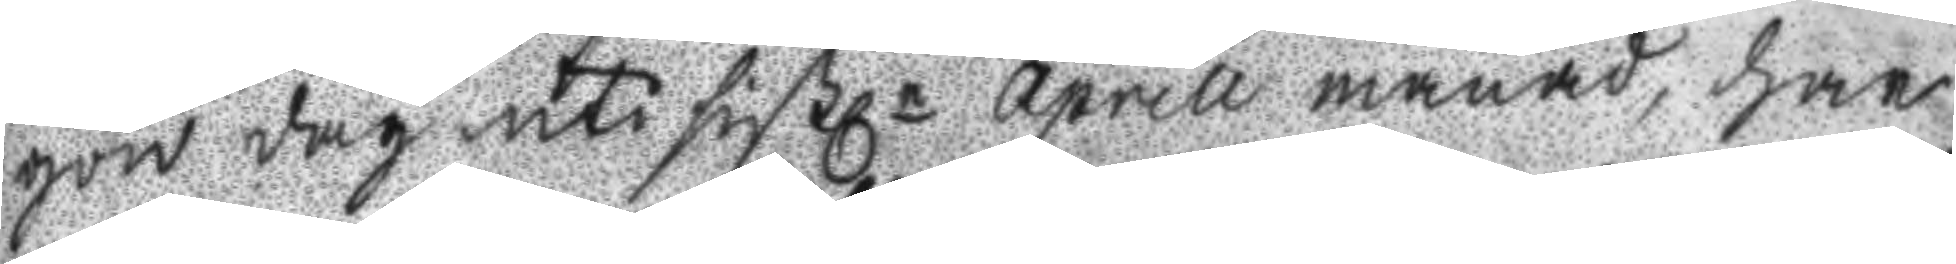gon dag uti sistle april månad, har
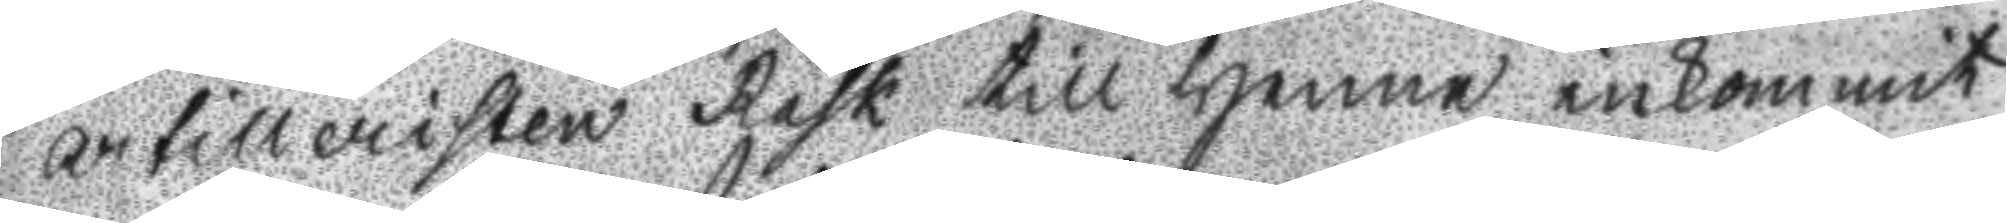artilleristen Rask till henne inkommit
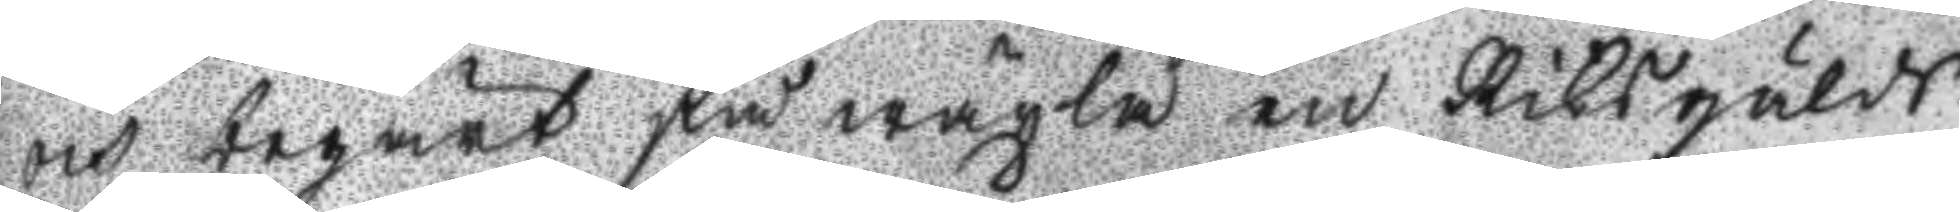och begärt få wäxla en Riksgälds
